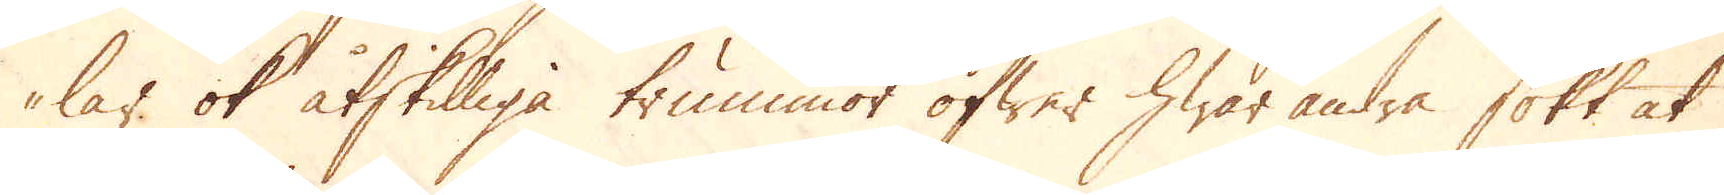lar ok åtskilliga trummor öfwer hwar andra sökt at
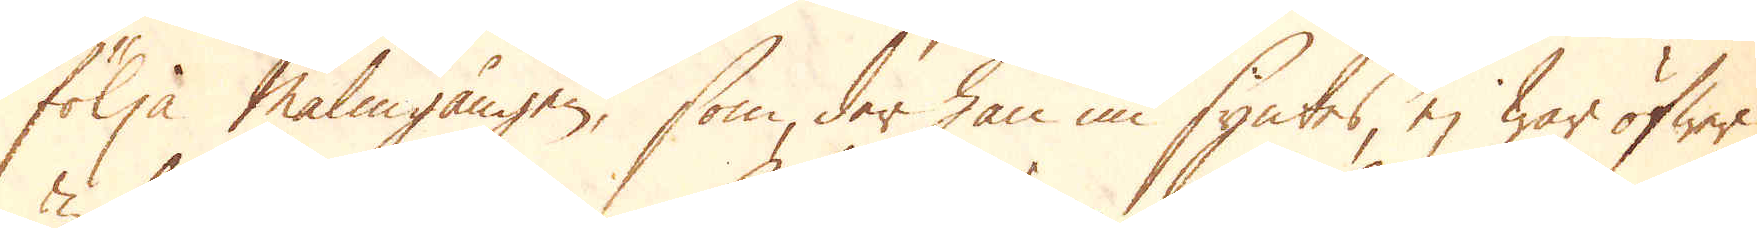följa Malmgången, som der han nu syntes, ej war öfwer
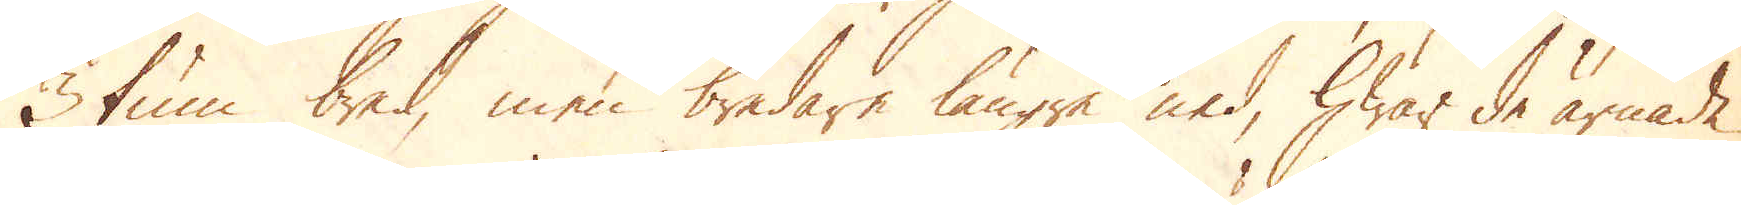3 tum bred, men bredare längre ned, hwar de ärnade
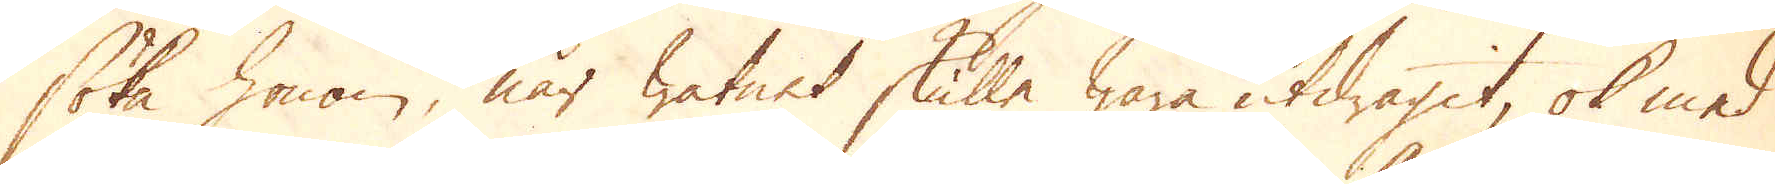söka honom, när watnet skulle wara utdragit, ok med
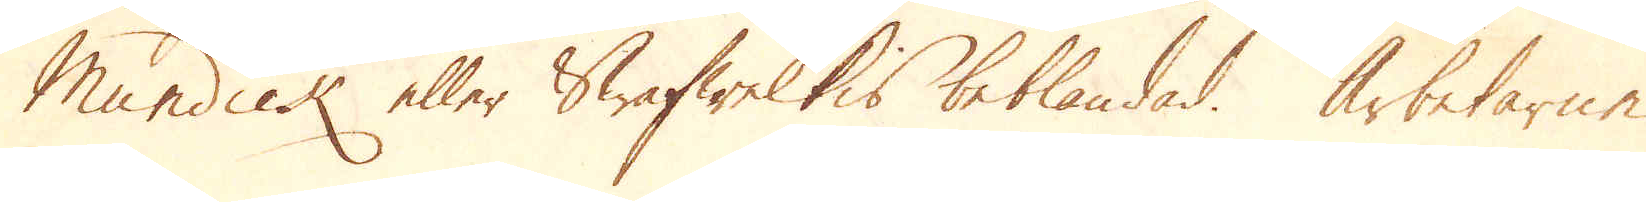Mundick eller Swafwelkis beblandad. Arbetarne
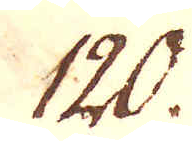120.
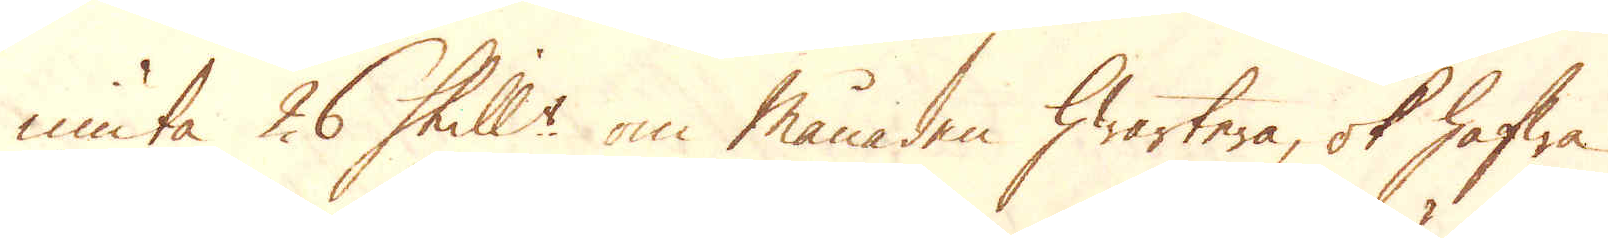niuta 26 Skill:r om månaden hwartera, ok hafwa
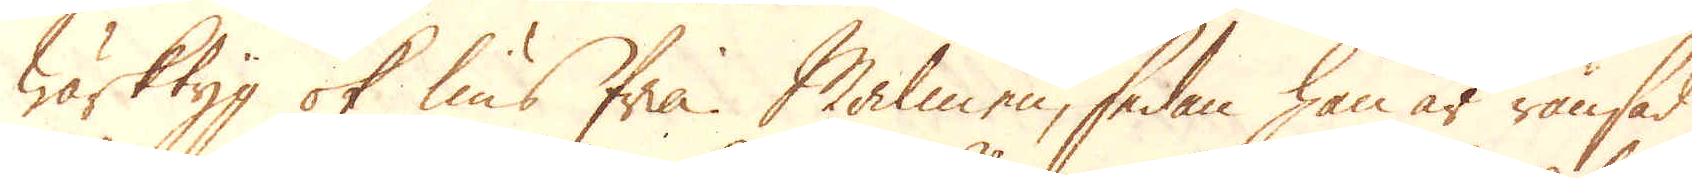wärktyg ok lius fria. Malmen, sedan han är ränsad
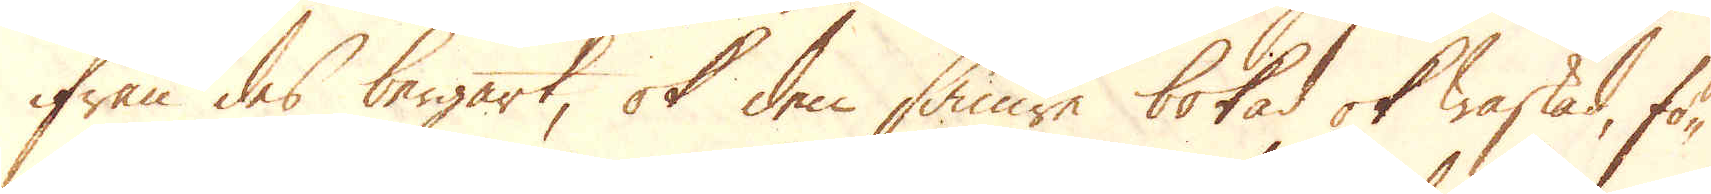ifrån des bergart, ok den sämre bokad ok waskad, fö-
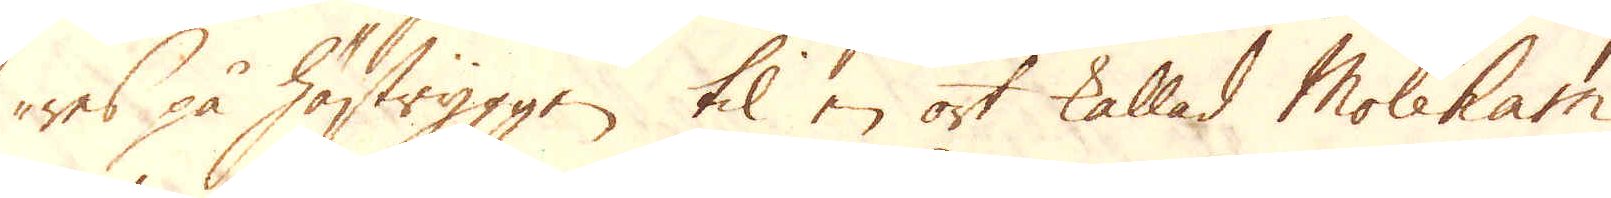res på hästryggen til en ort kallad Moleham
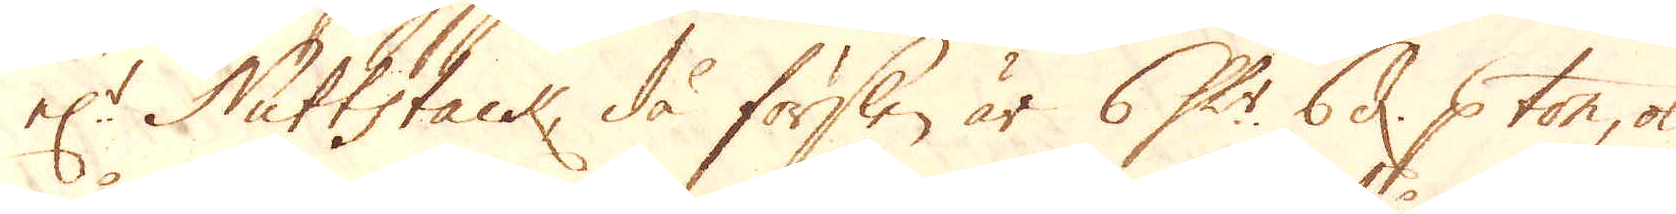el:r Nuttstack, då förslen är 6 Sk:r 6 d: p ton, ok
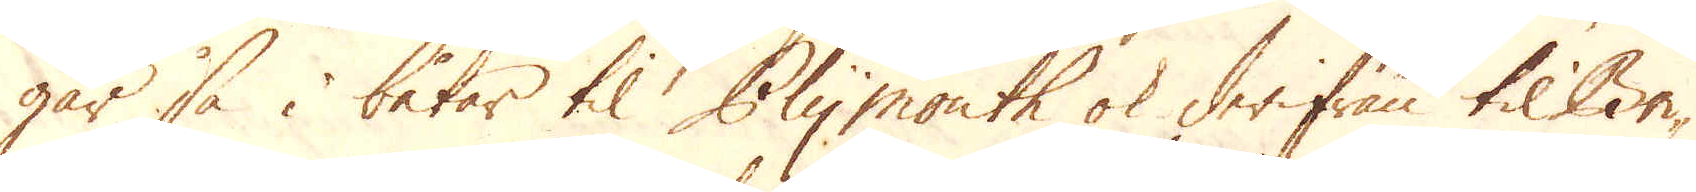går så i båtar til Plymouth ok derifrån til Bri-
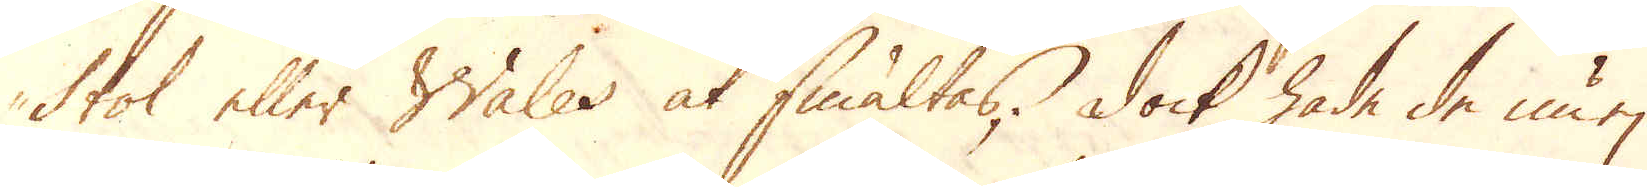stol eller Wales at smältas; dock hade de nu ej
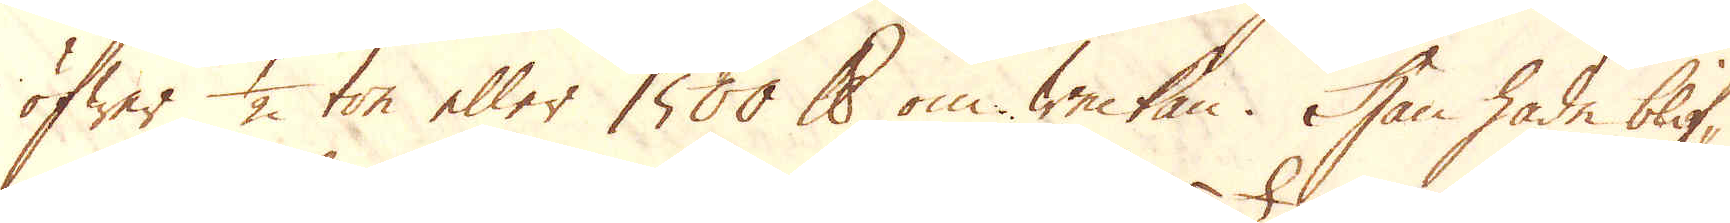öfwer 1/2 ton eller 1500 skålpund om Weckan. Han hade blif-
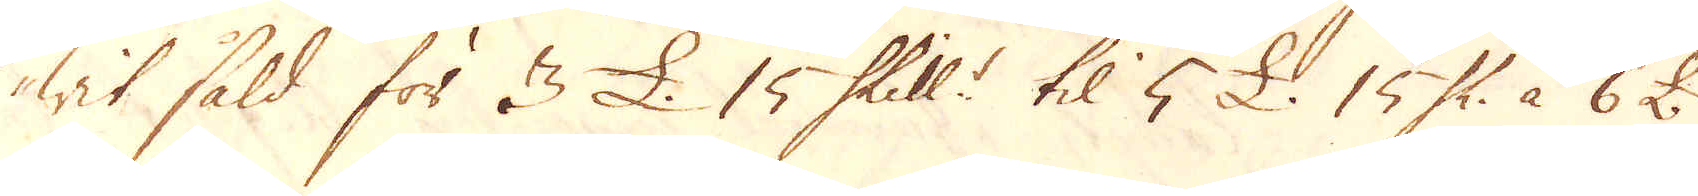wit såld för 3 £. 15 Skill:r til 5 £ 15 Sk: à 6 £.
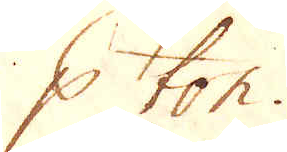p ton.
